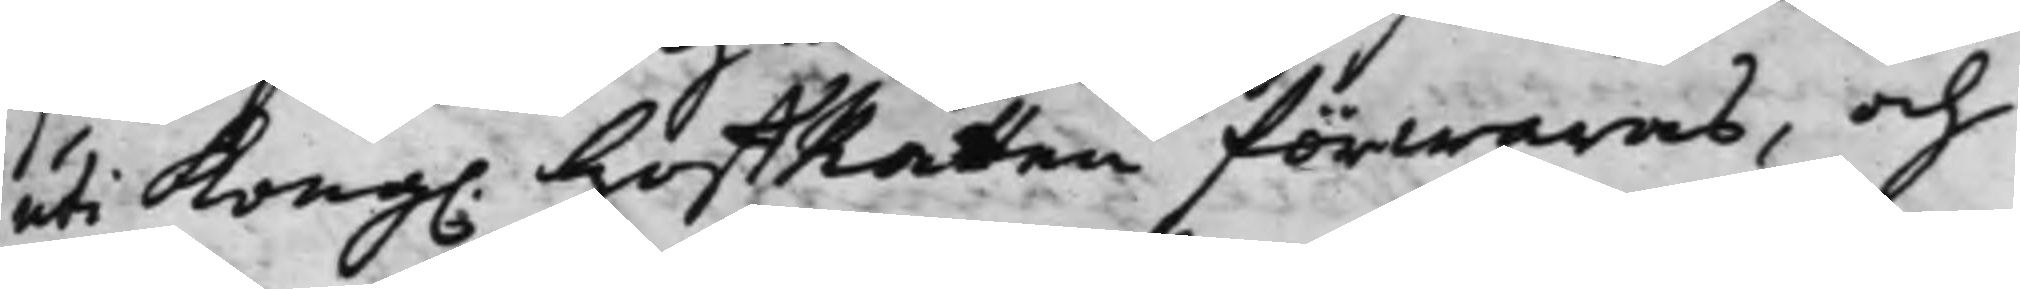uti Kong. HoffRätten förwaras, och
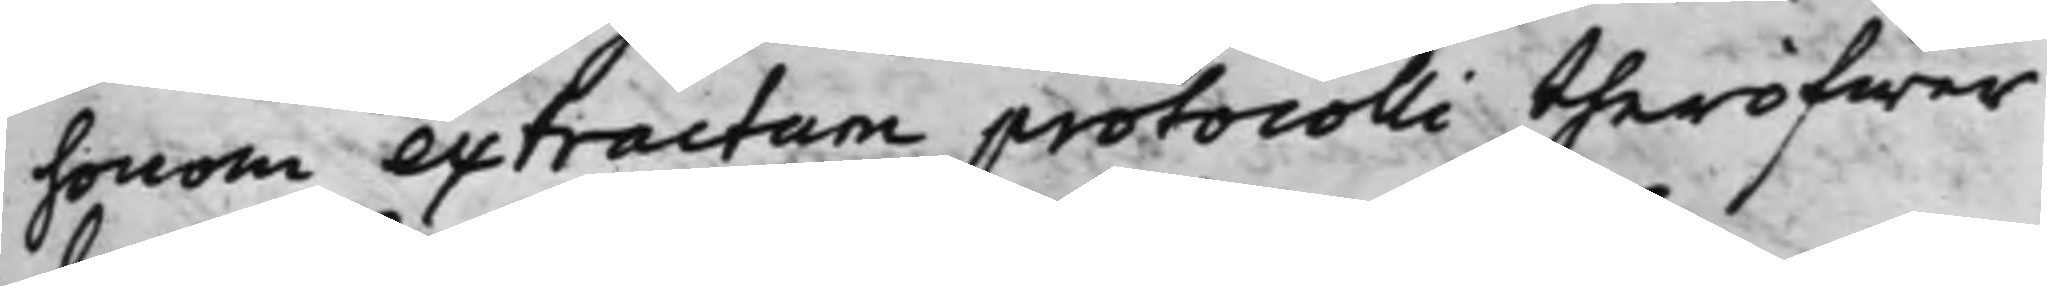honom extractum protocolli theröfwer
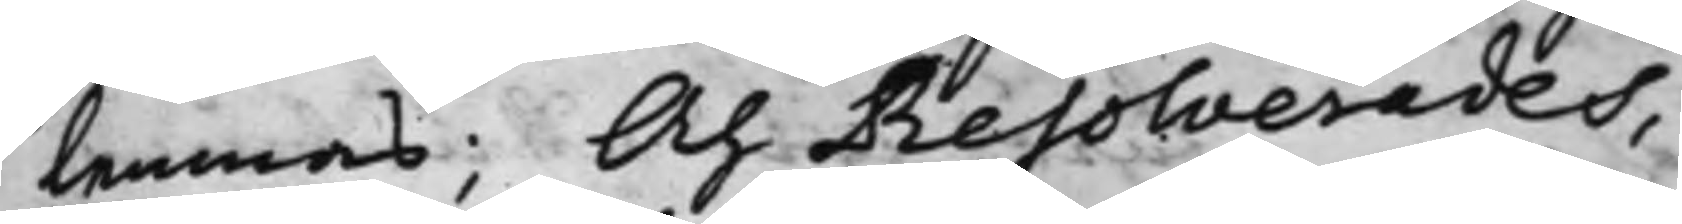lemnas; Och Resolverades,
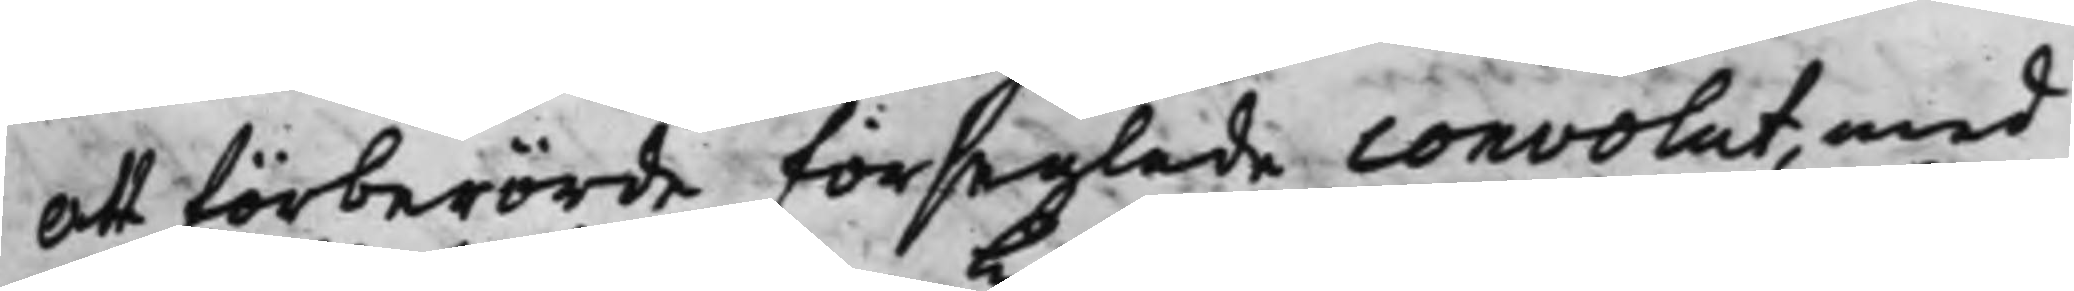att förberörde förseglade convolut, med
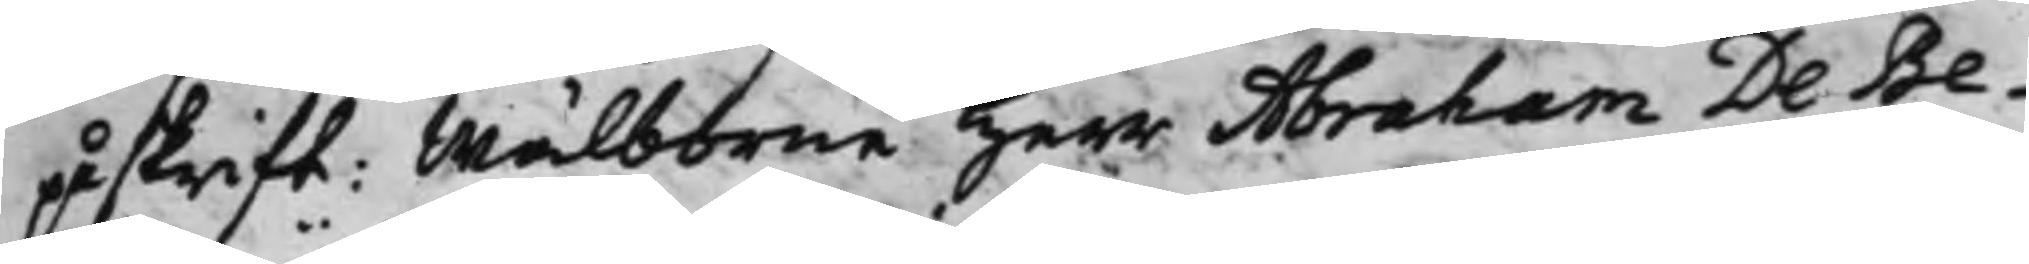påskrift: Wälborne Herr Abraham De Be¬
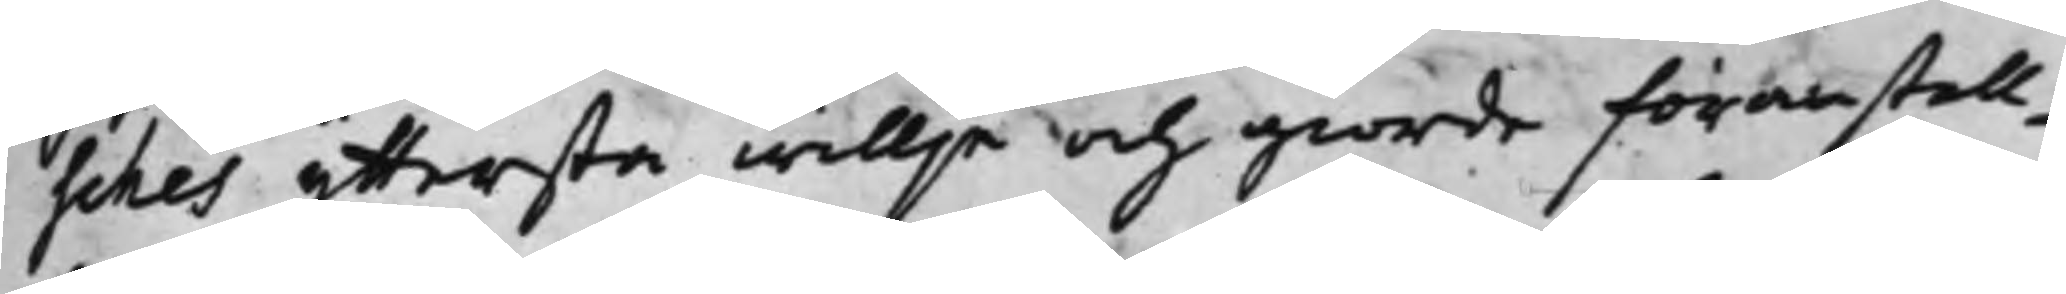sches yttersta willja och giorde föranstall¬
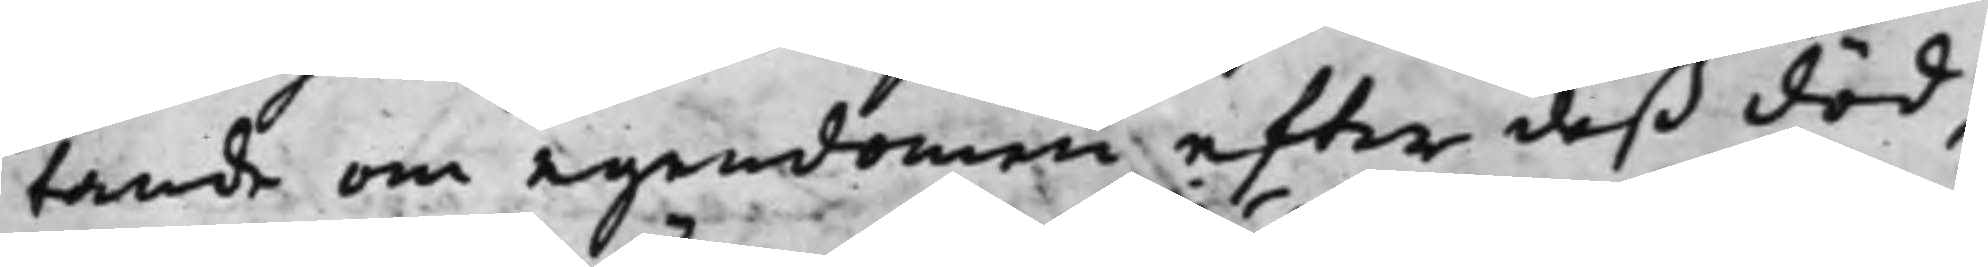tande om egendomen, efter deß död,
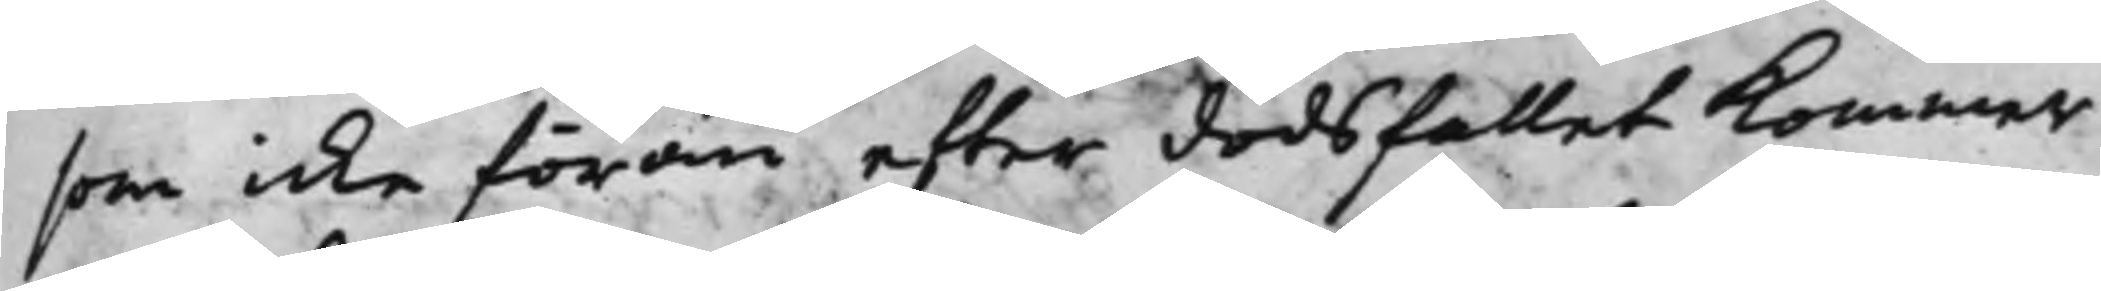som icke förän efter dödsfallet kommer
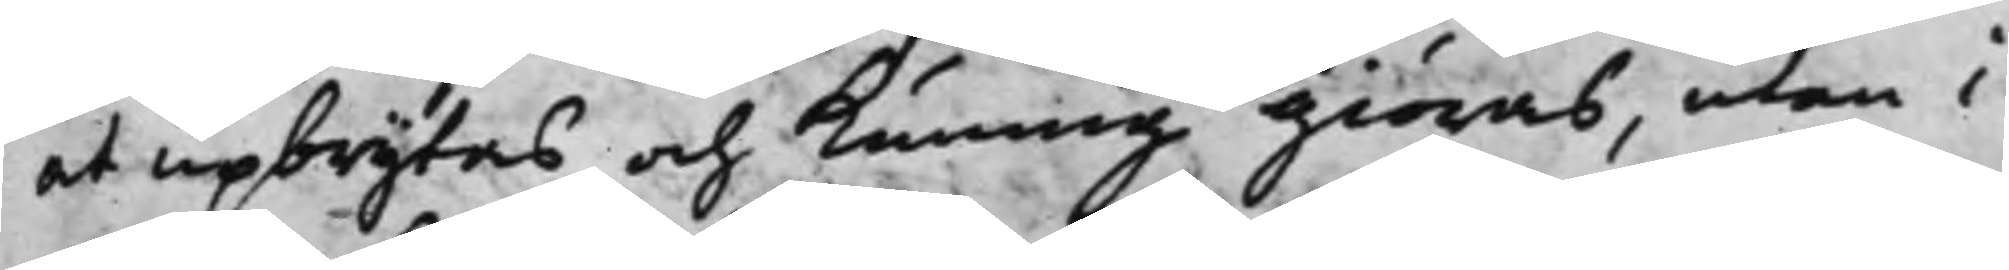at upbrytas, och kunnig giöras, utan i
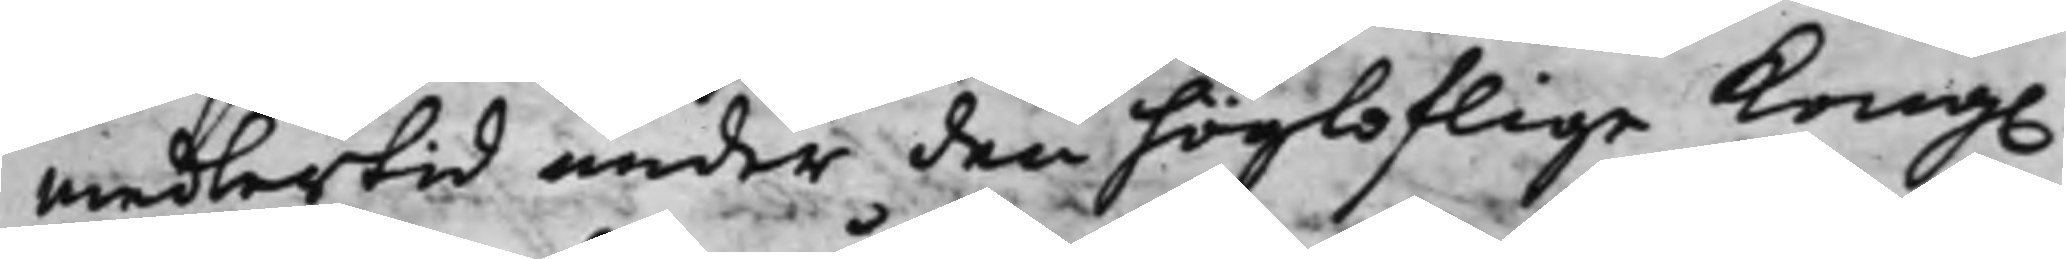medlertid under den högloflige Kong.
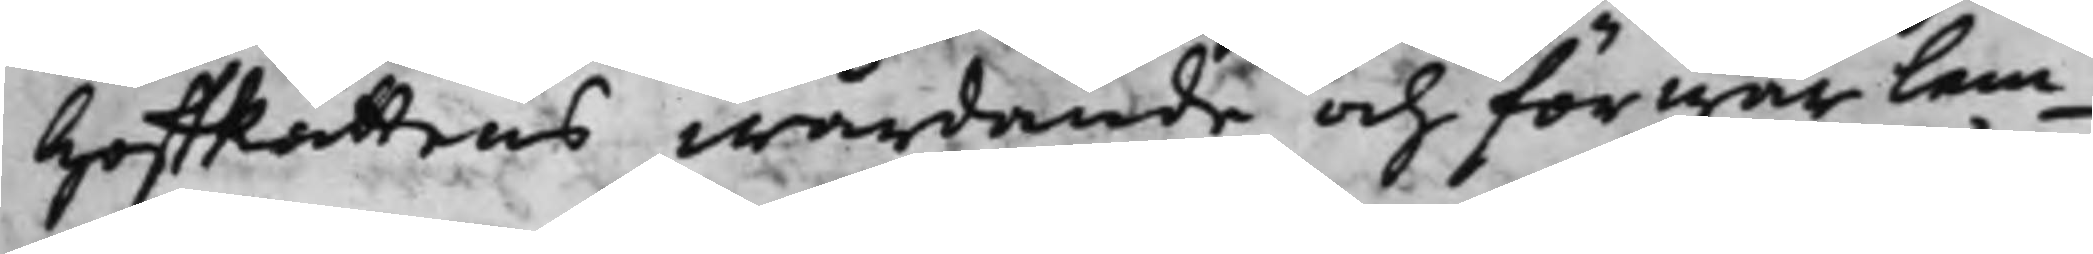HoffRättens wårdande och förwar lem¬
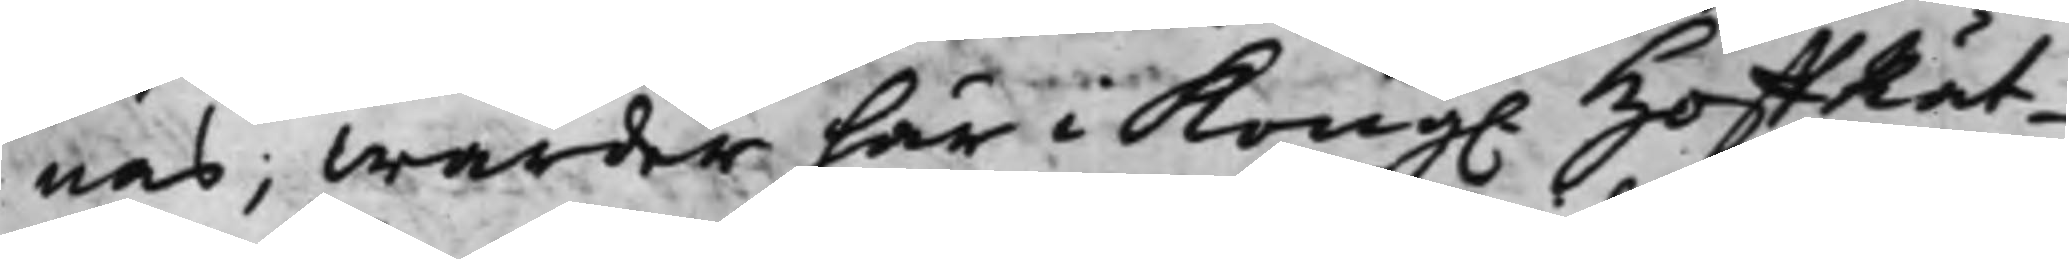nas, Warder här i Kong. HoffRät¬
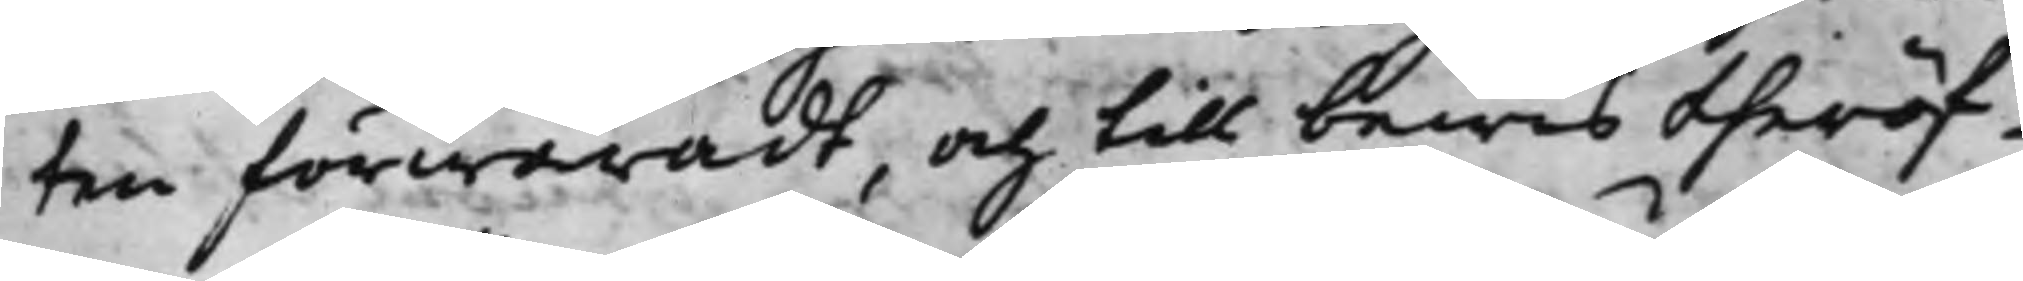ten förwaradt, och till bewis theröf¬
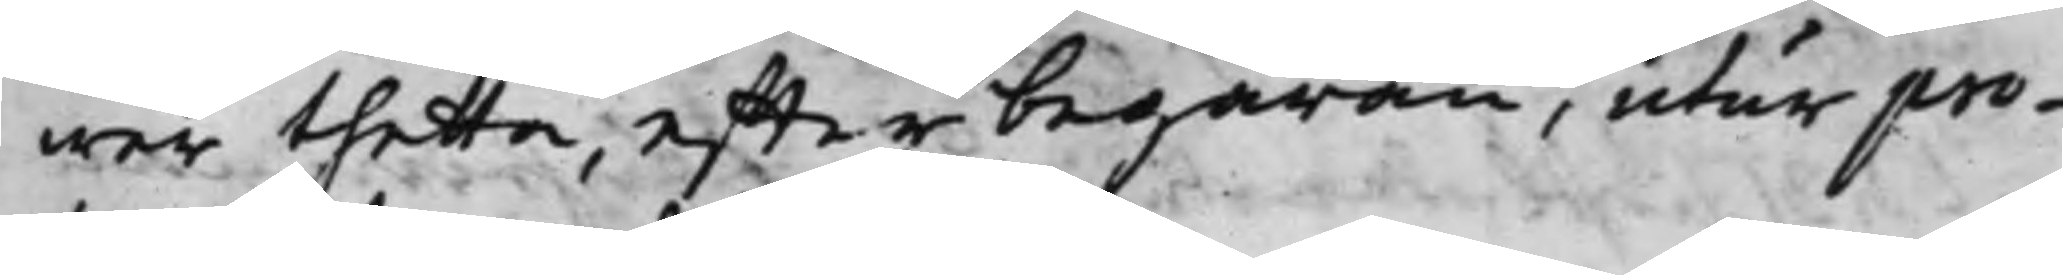wer thetta, effter begäran, utur pro¬
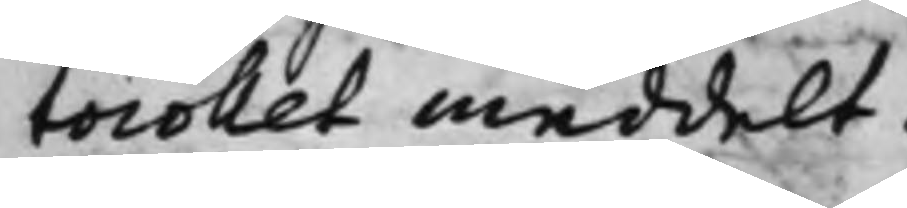tocollet meddelt.
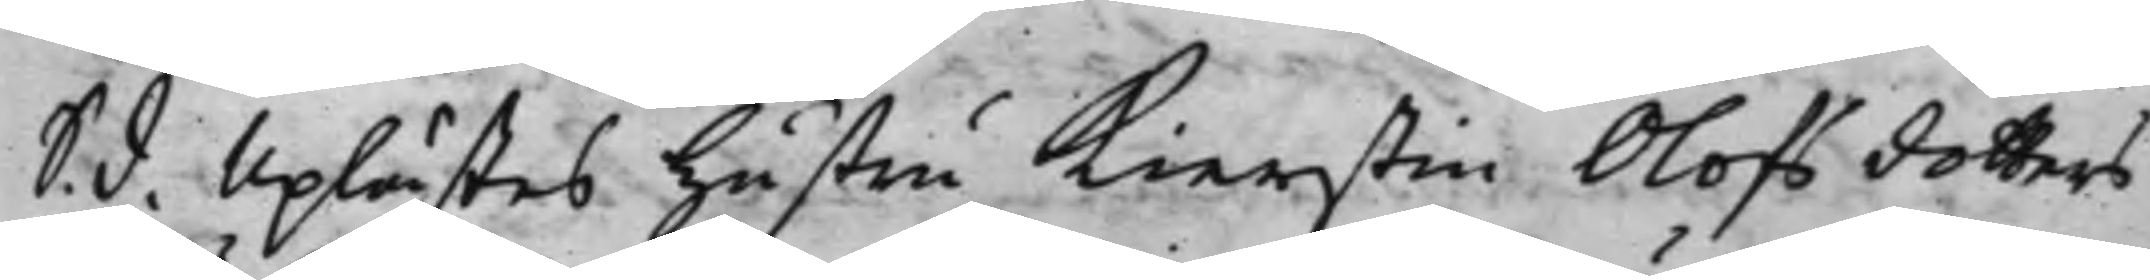S. d. Uplästes Hustru Kierstin Olofs dotters
